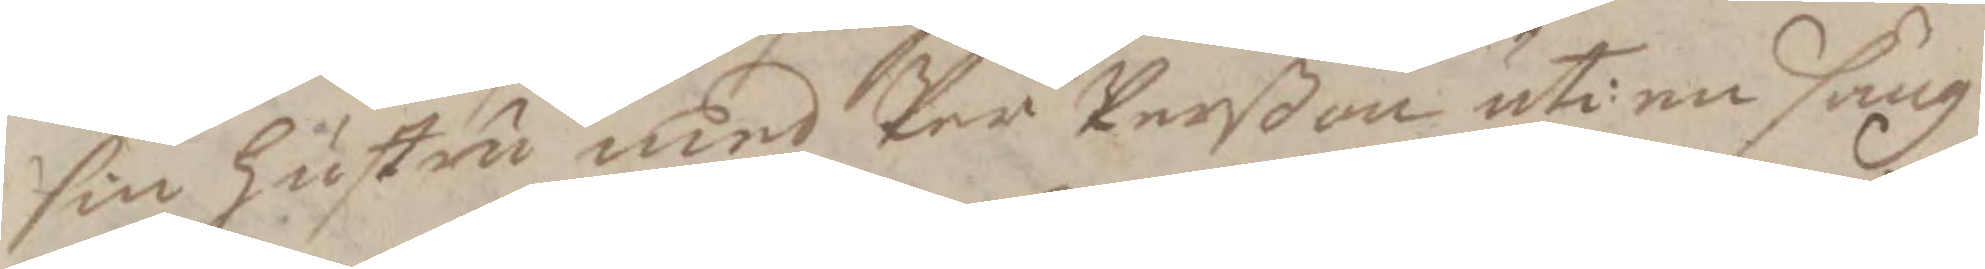sin hustru med Per Perßon uti en säng
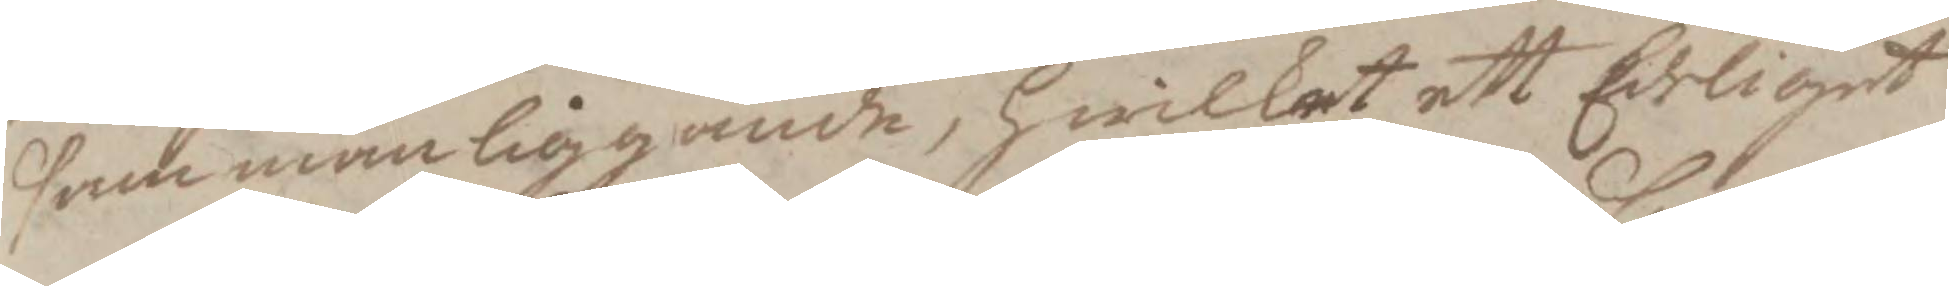sammanliggande, hwilket ett Edeligit
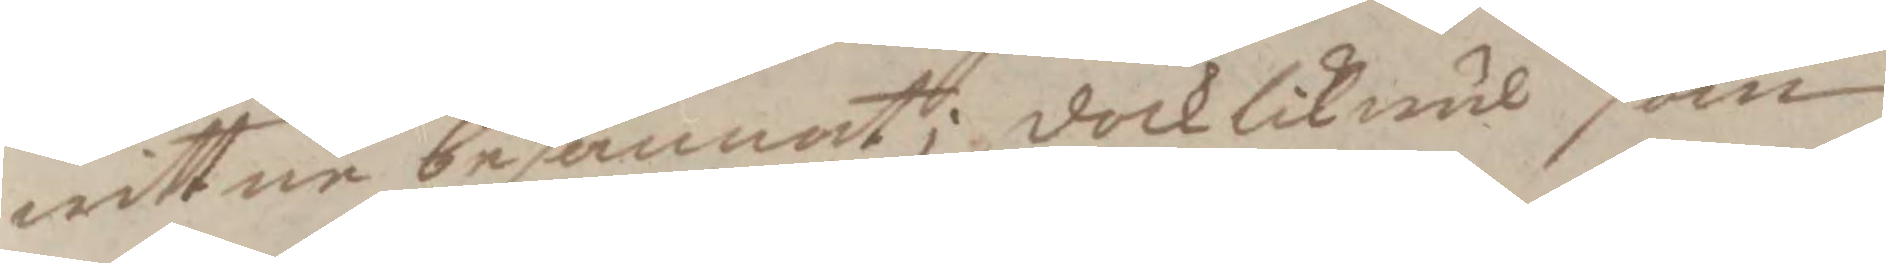wittne besannat; dock likwäl som
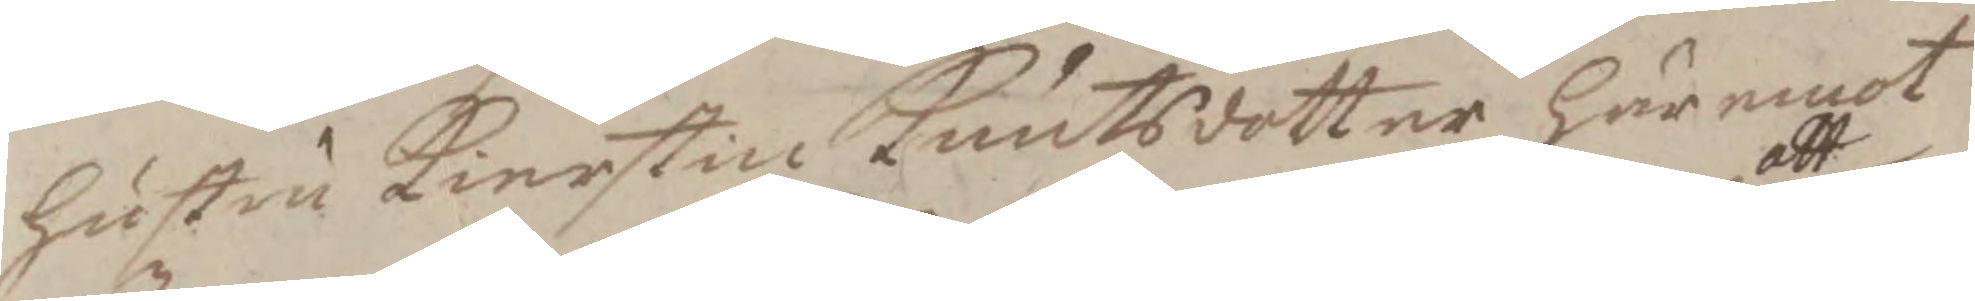hustru Kiertsin Knutsdotter häremot
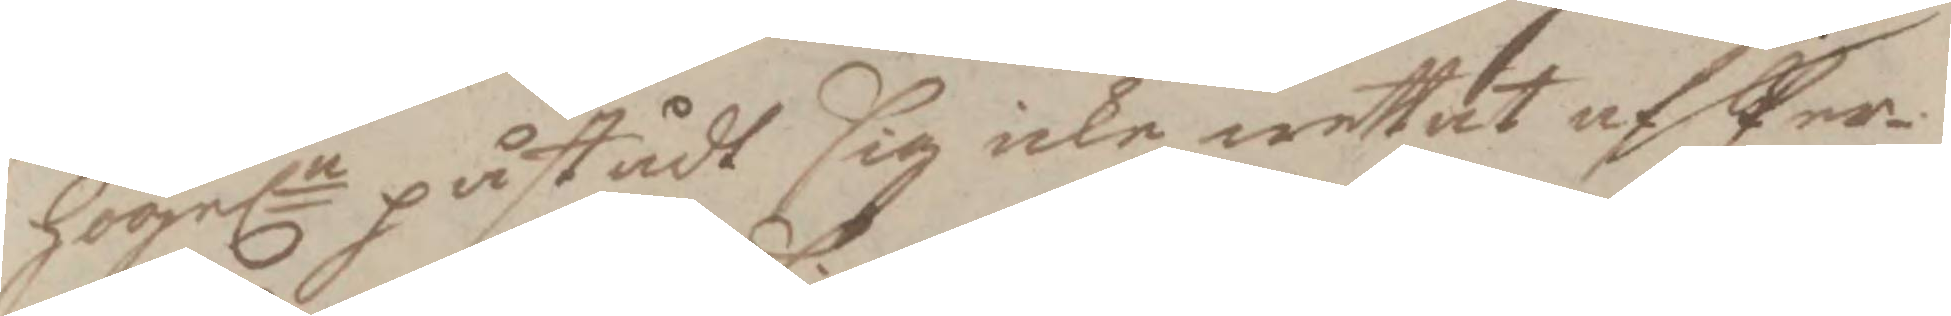Högeln påstådt sig icke wettat af att Per
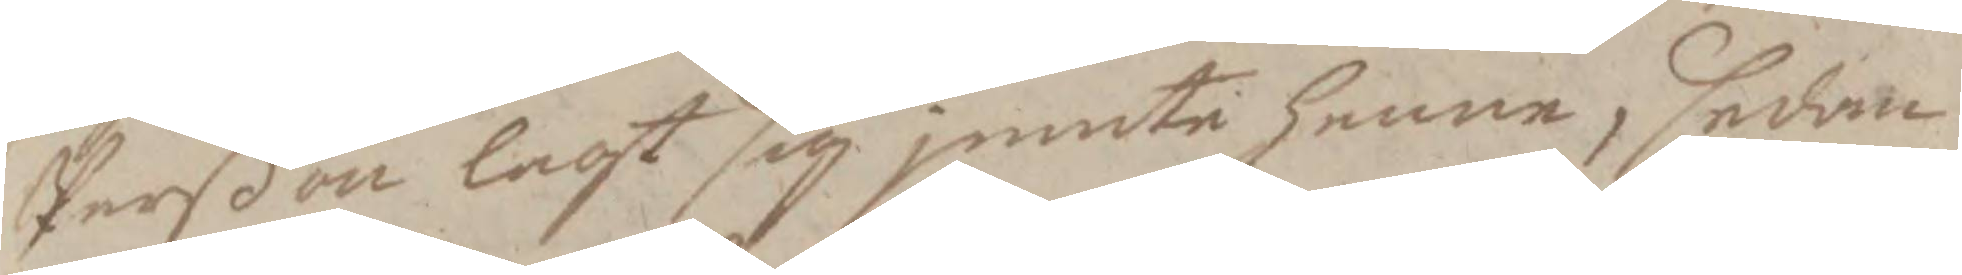Perßon lagt sig jemte henne, sedan
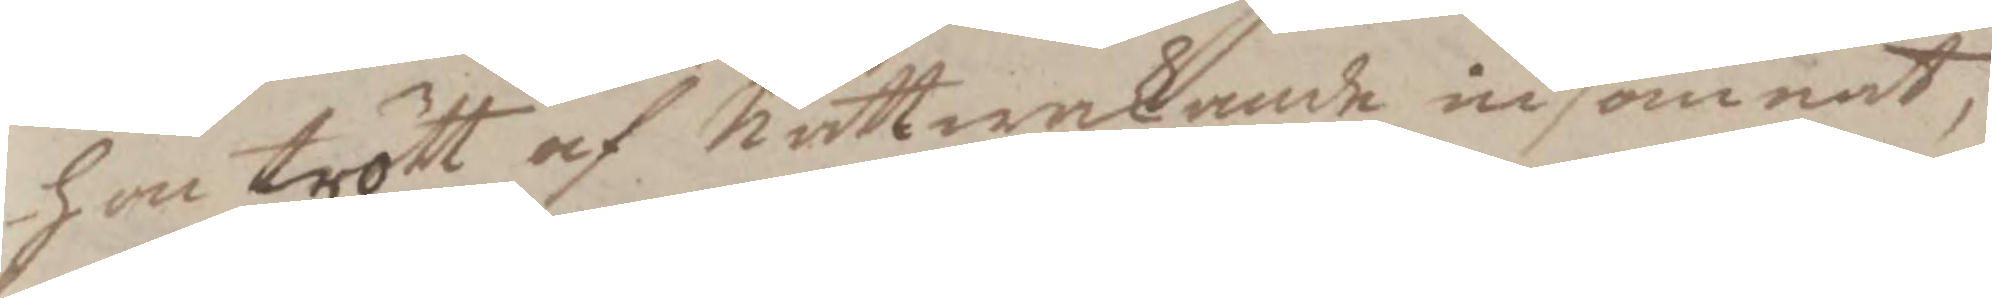hon trött af nattwakande insomnat,
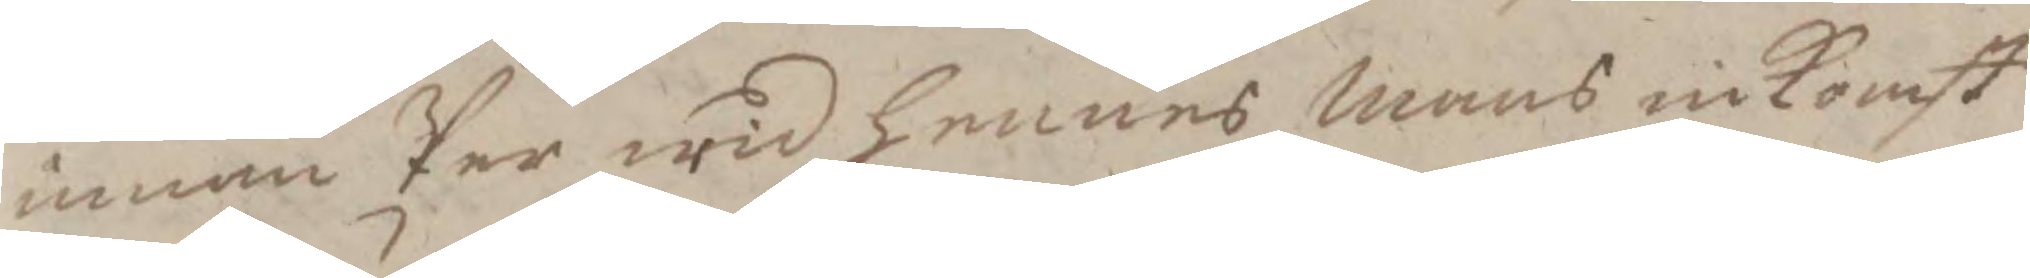innan Per wid hennes mans inkomst
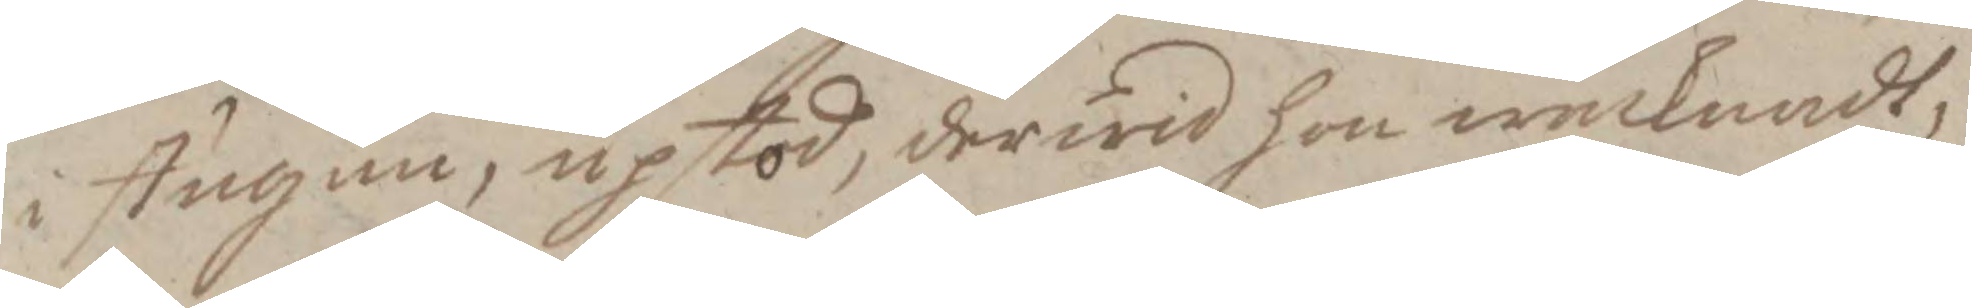i stugun, upstod, derwid hon waknadt,
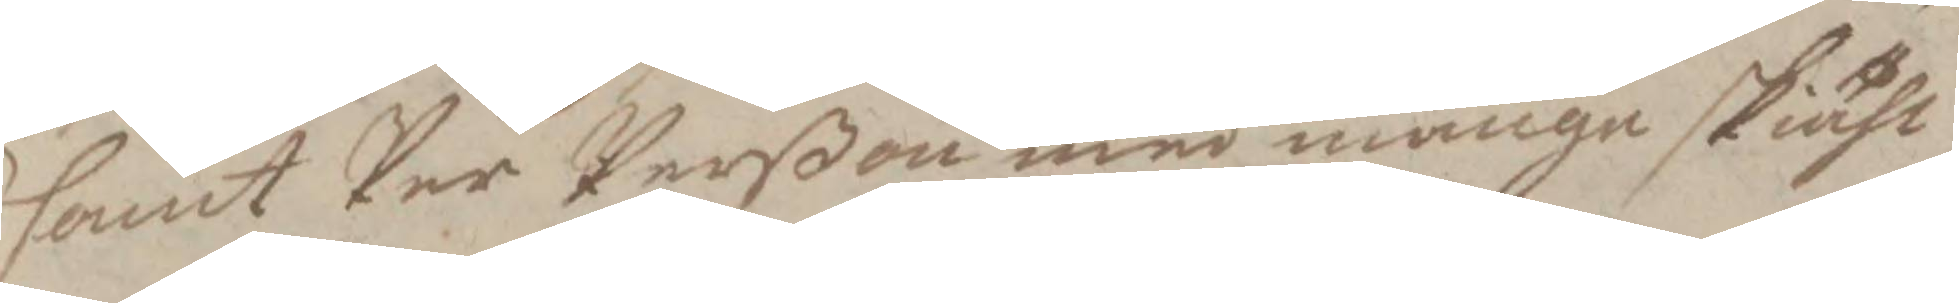samt Per Perßon med månge skiähl
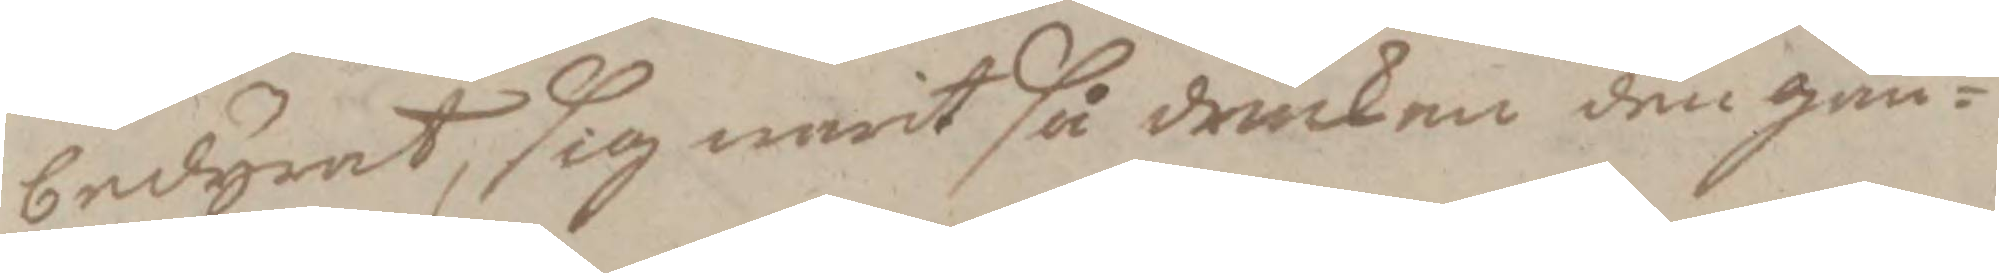bedyrat, sig warit så drucken den gån¬
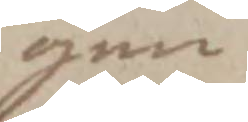gen
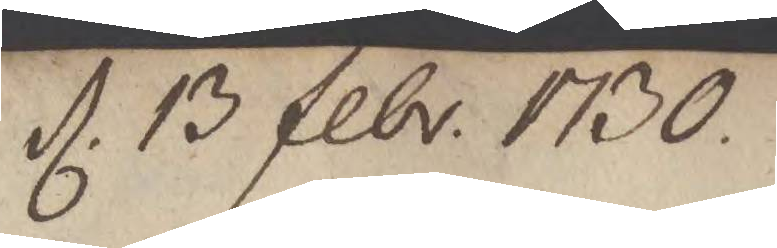d. 13 febr. 1730.
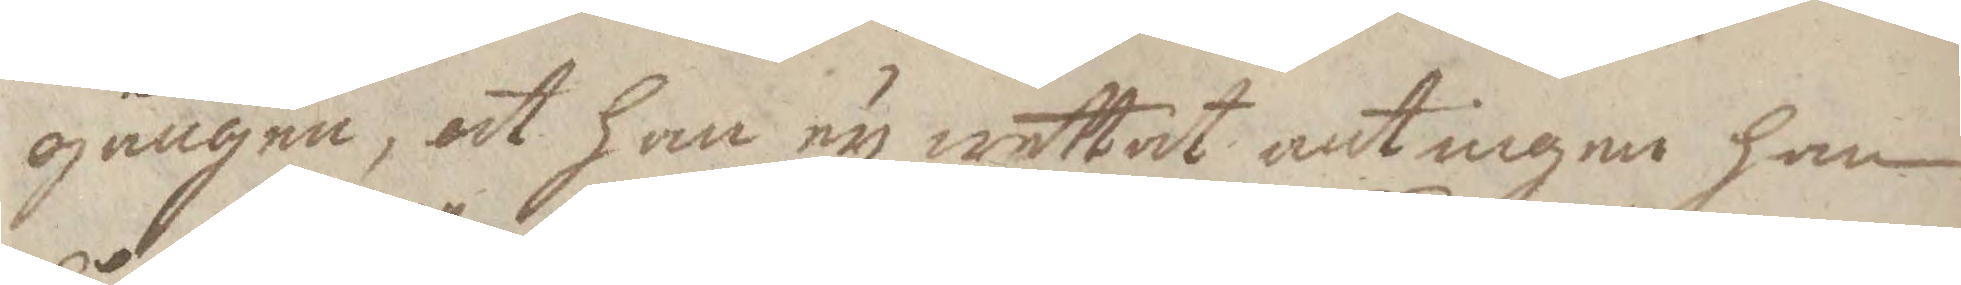gången, at ahn ey wettat antingen han
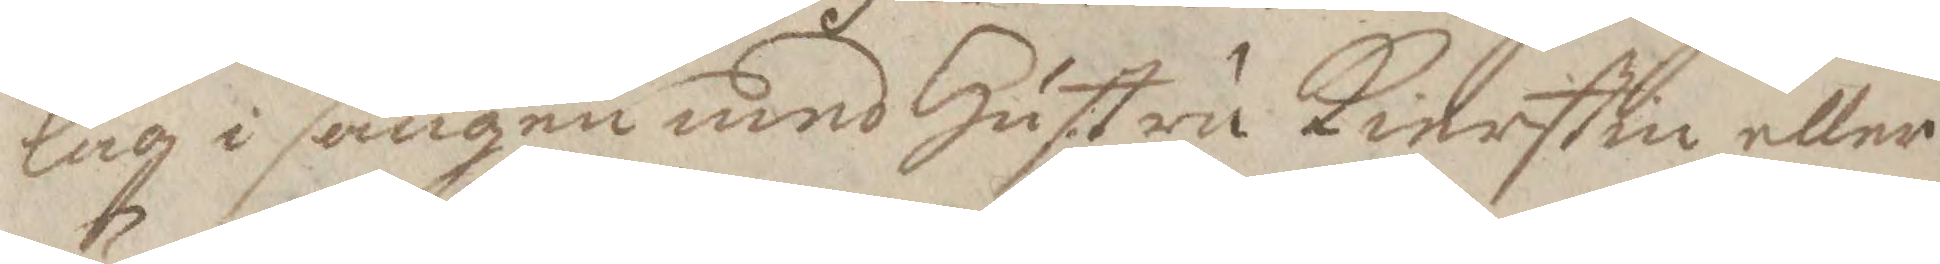låg i sängen med Hustru Kierstin eller
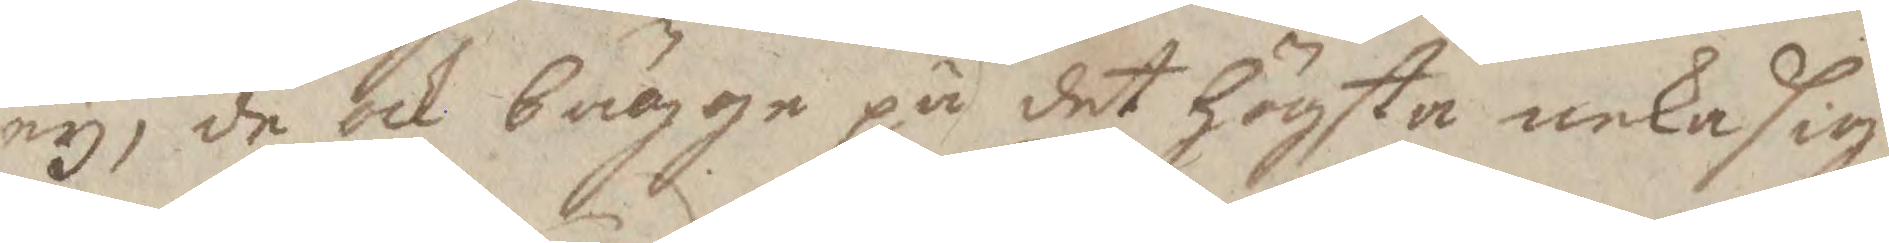ey, de ock bägge på det högsta neka sig
